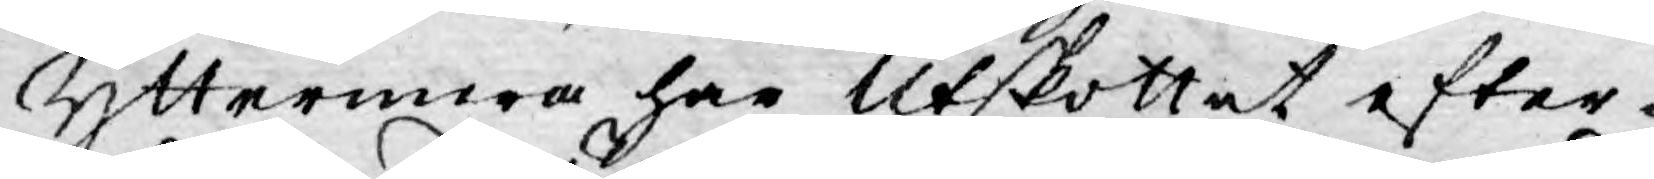Yttermera har Utskottet efter-
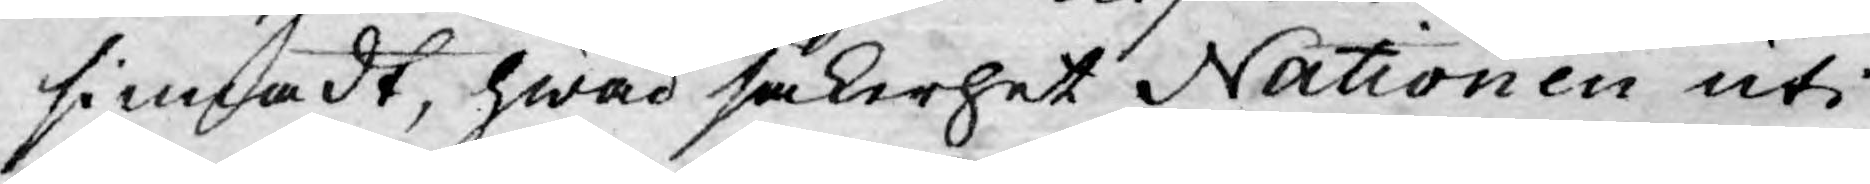sinnadt, hwad säkerhet Nationen uti
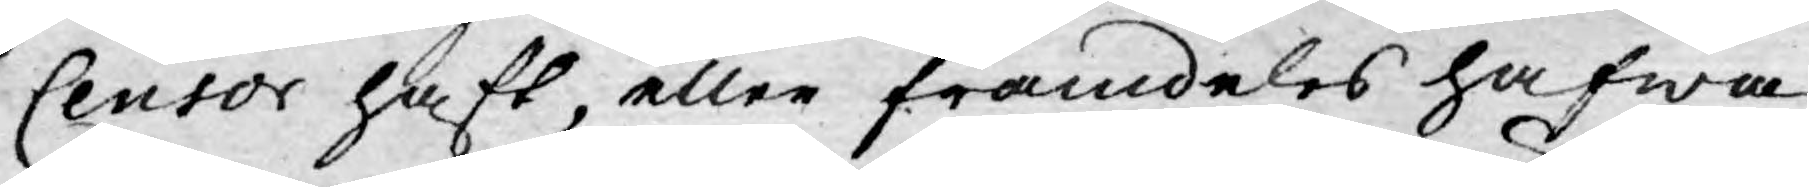Censor haft, eller framdeles hafwa
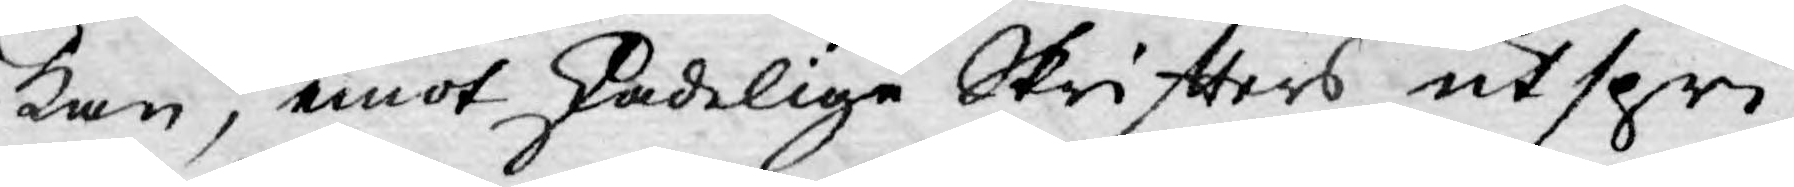kan, emot skadelige Skrifters utspri-
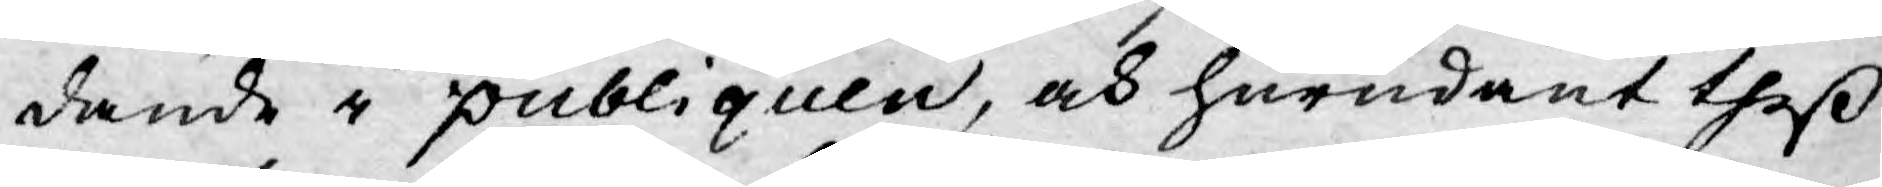dande i publiquen, och hurudant theß
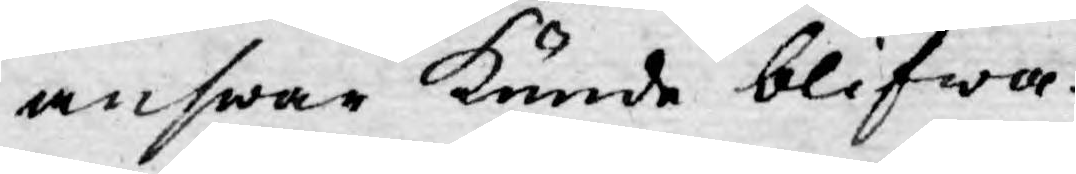answar kunde blifwa.
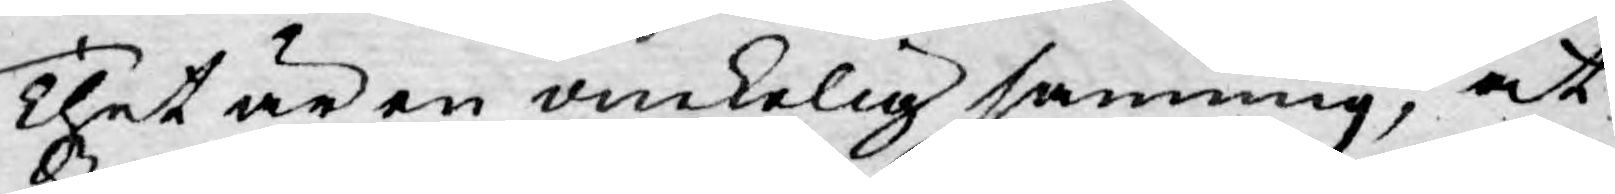Thet är en onekelig sanning, at
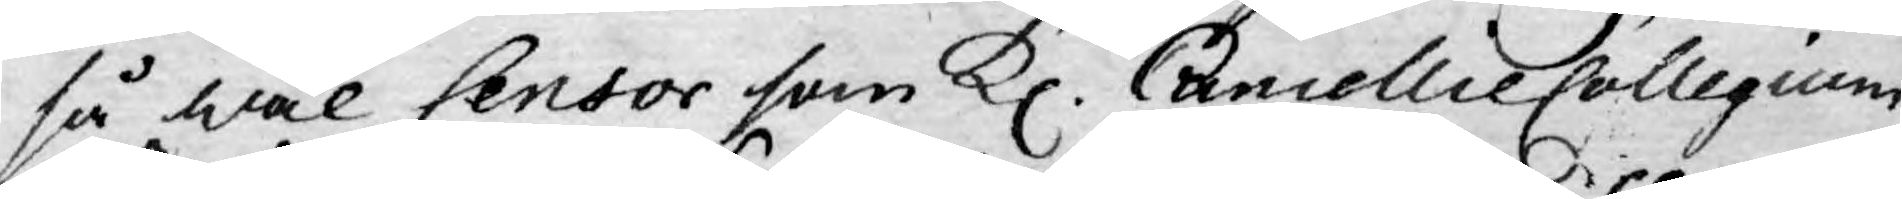så wäl Censor som Kl. CancellieCollegium
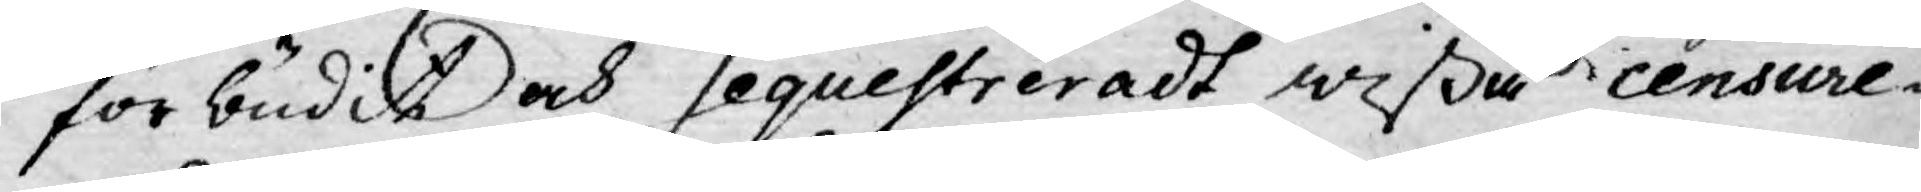förbudit och Sequestreradt wißa censure¬
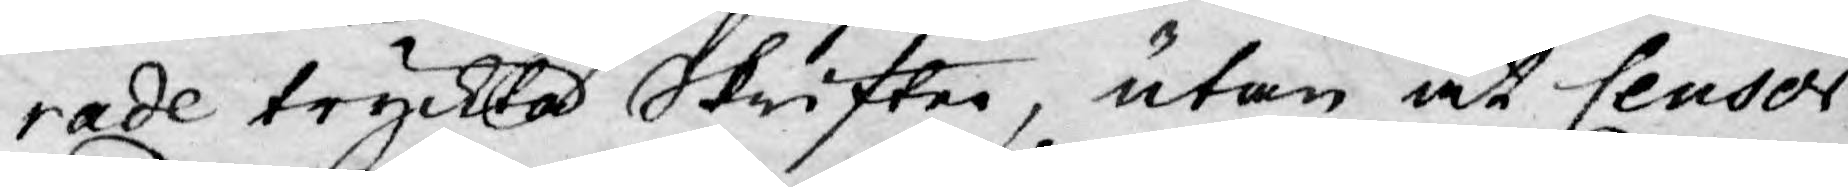rade tryckta skrifter, utan at Censor
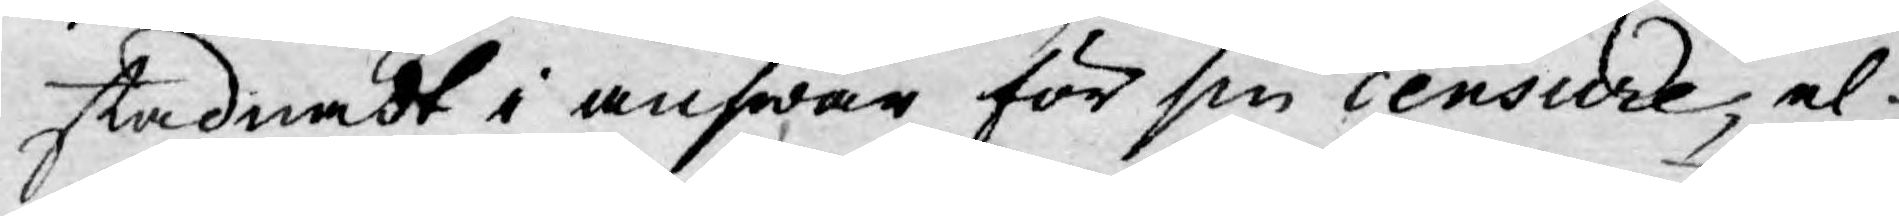stadnadt i answar för sin censure, el¬
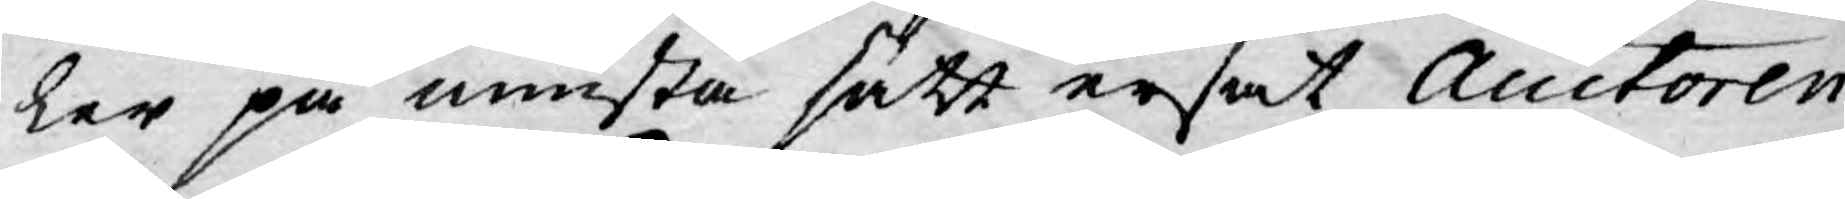ler på minsta sätt ersat Auctoren
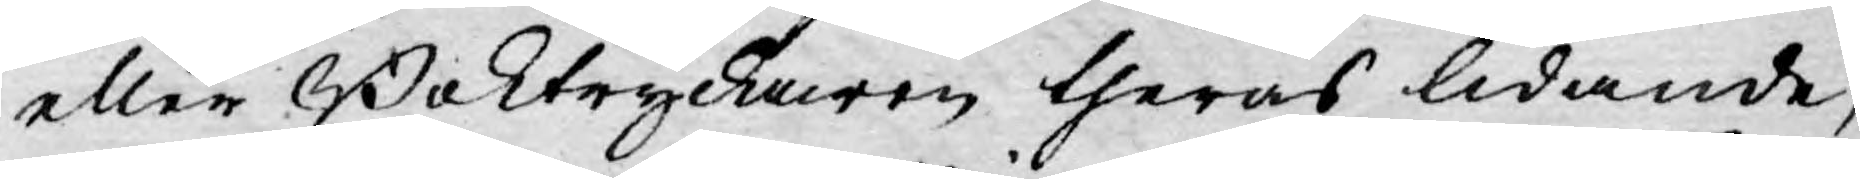eller Boktryckaren theras lidande;
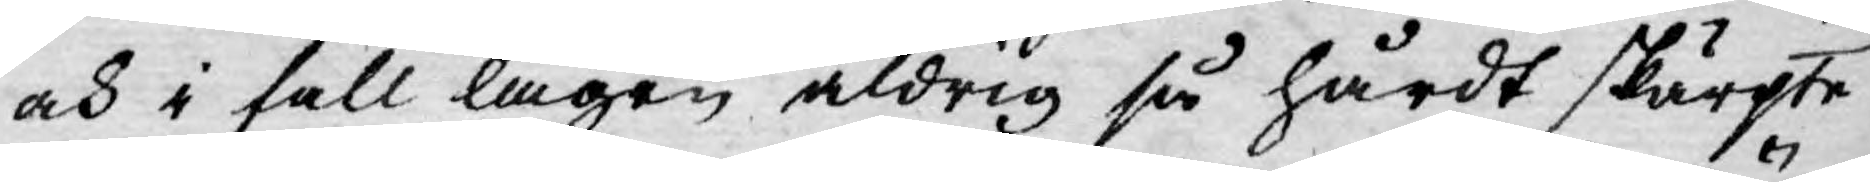och i fall lagen aldrig så hårdt skärpte
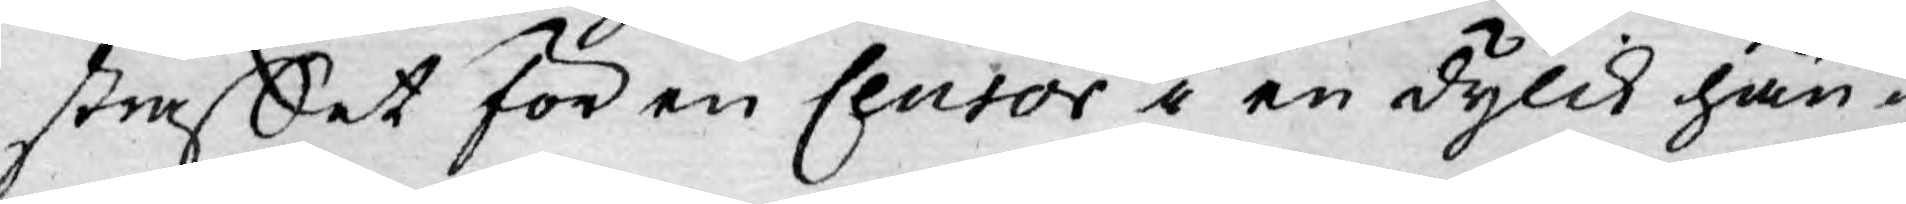straffet för en Censor i en dylik hän-
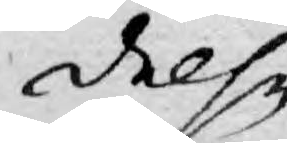delse
